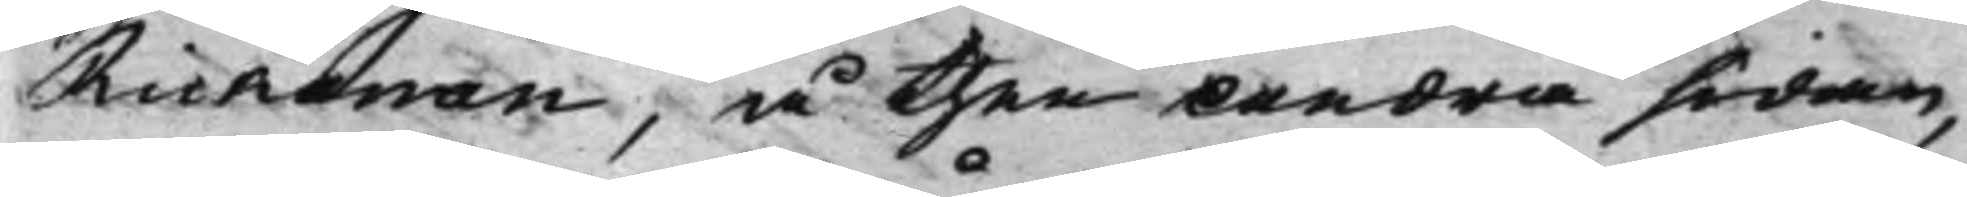Rickman, å then andra sidan,
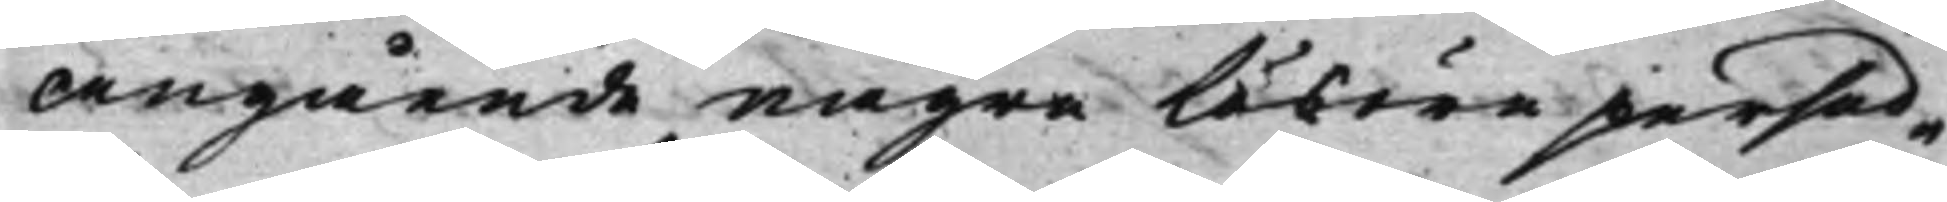angående några lösöre persed¬
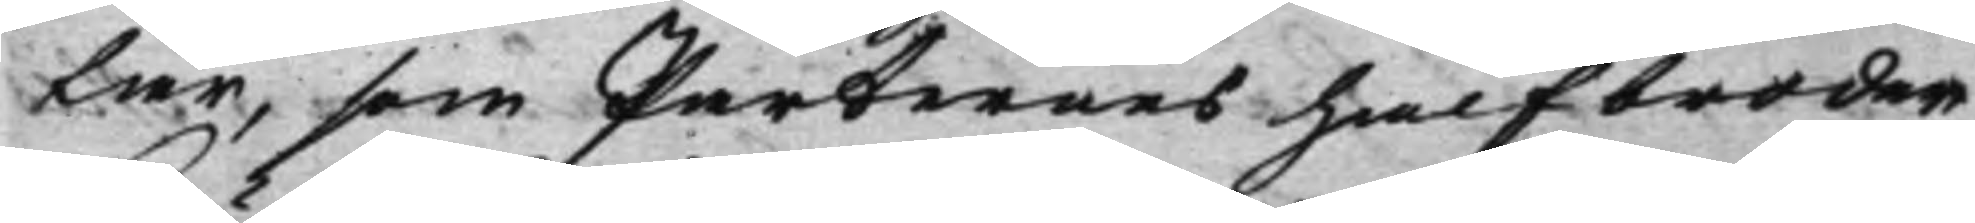lar, som Parternes halfbroder,
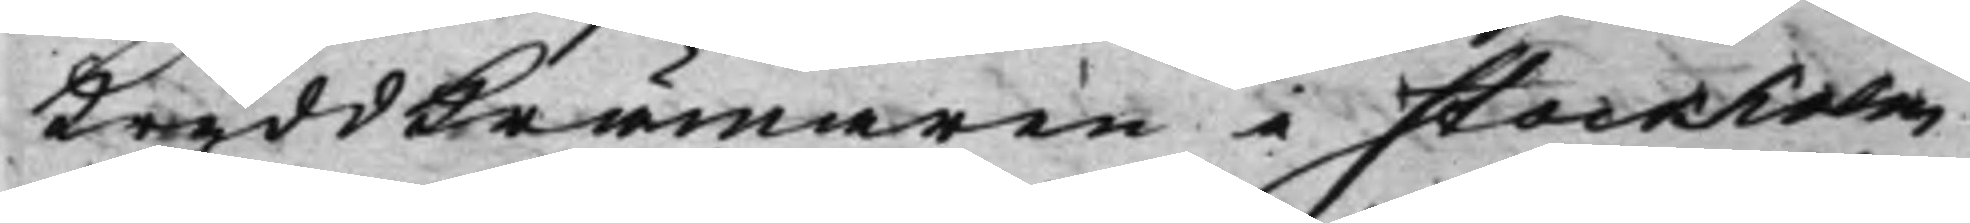Kryddkrämaren i Stockholm
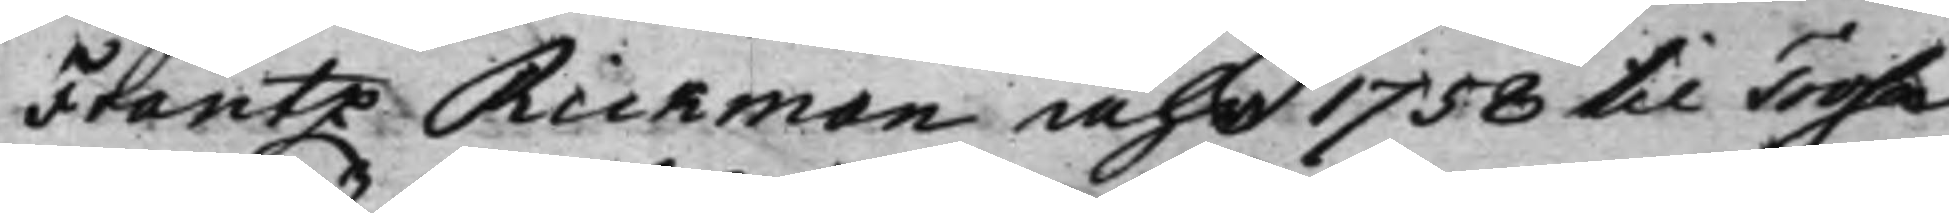Frantz Rickman åhr 1758 til Trosa
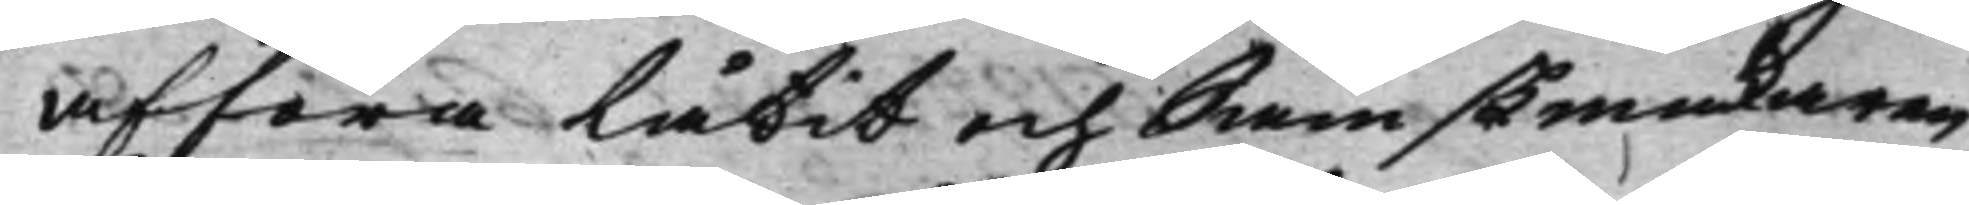afföra låtit och Sämskmakaren
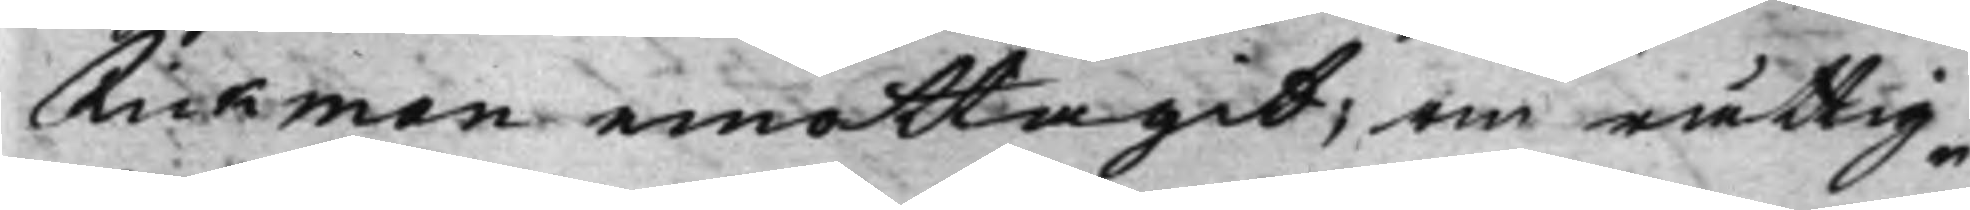Rickman emottagit; om rättig¬
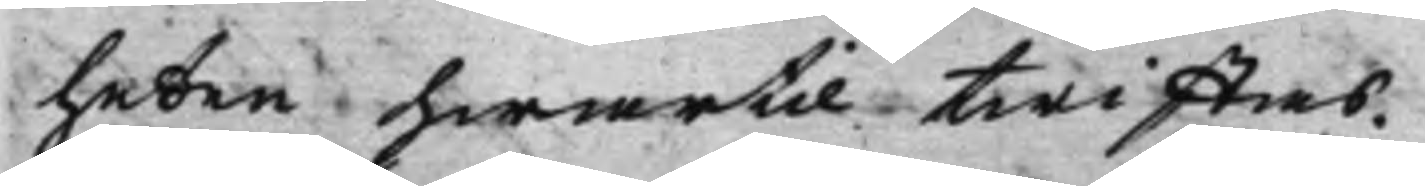heten hwartil twistas.
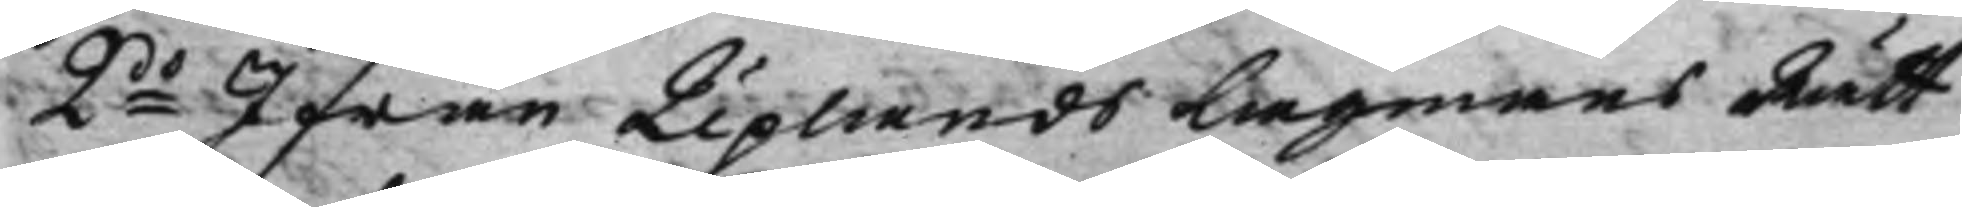2do Ifrån Uplands LagmansRätt
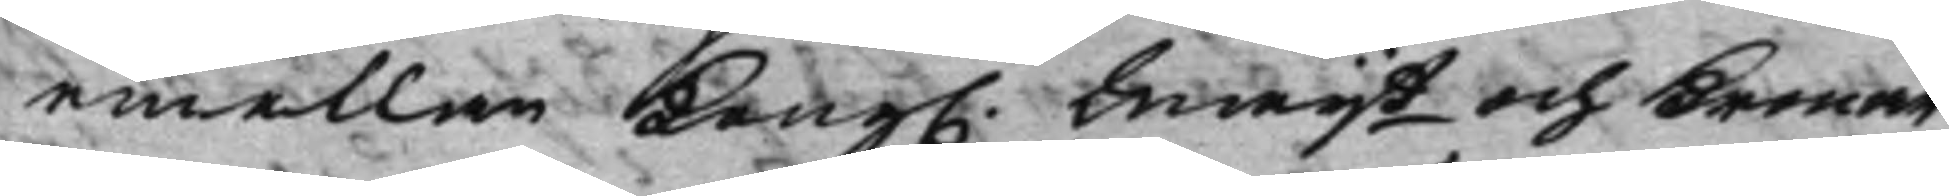emellan Kong. Maijt och Kronan,
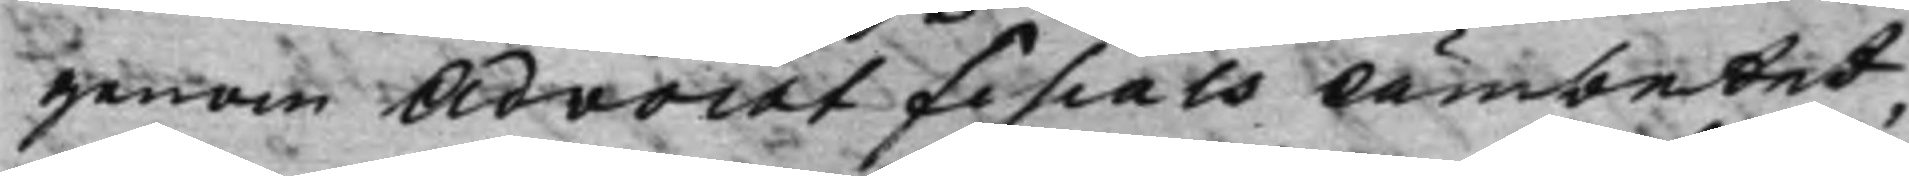genom Advocatfiscals Ämbetet,
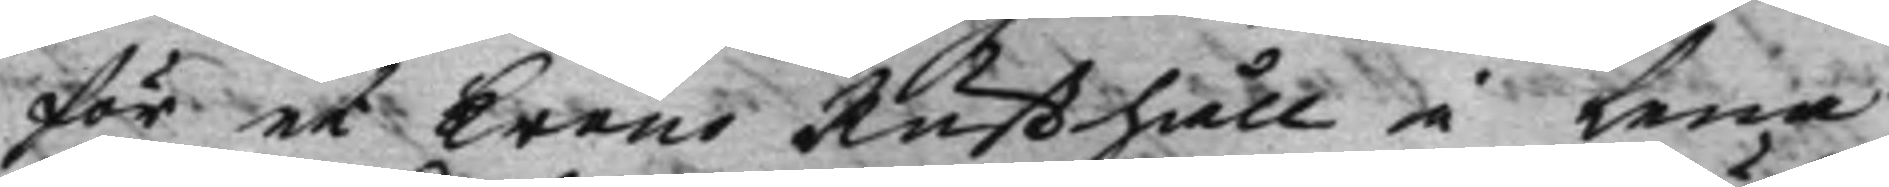för et Krono Rusthåll i Lena
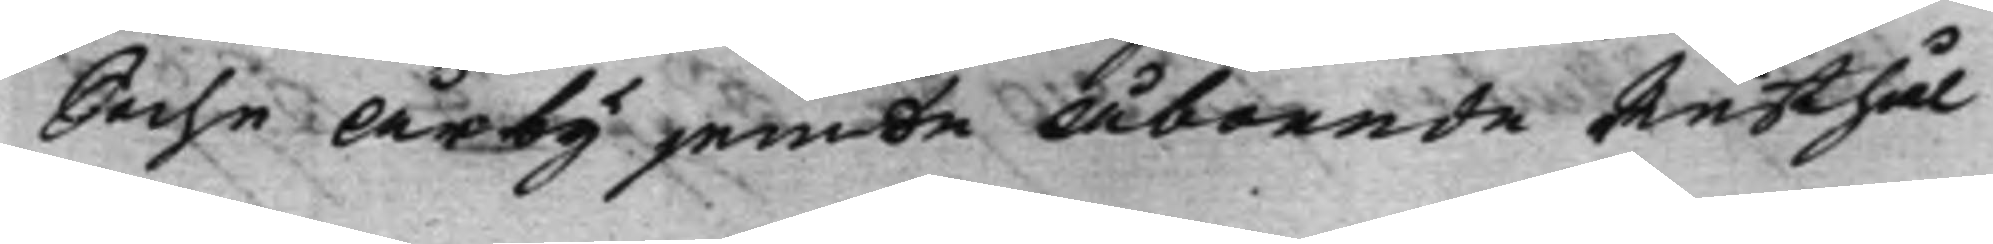Sochn Årby jemte Åboende Rusthål¬
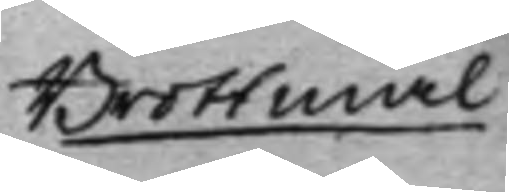Brottmål
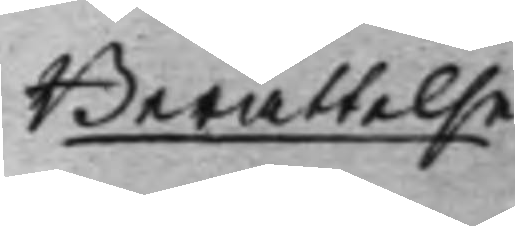Berättelse
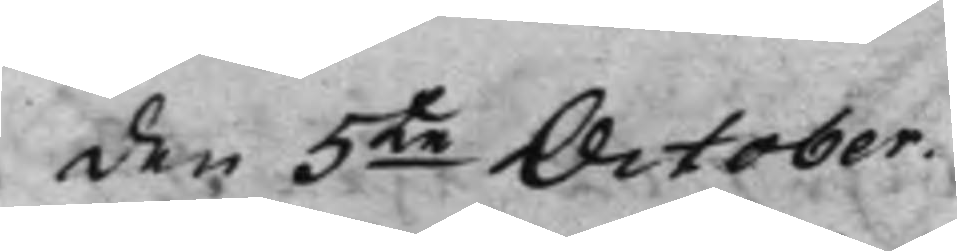den 5te October.
